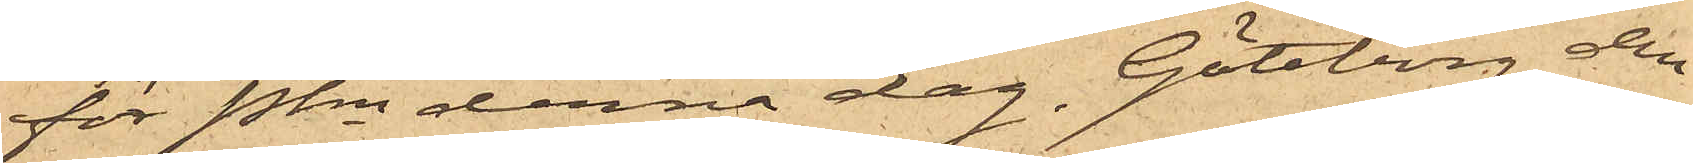för Pkn denna dag. Göteborg den
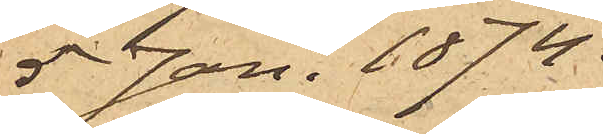5 Jan. 1874.
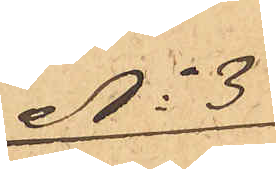No 3
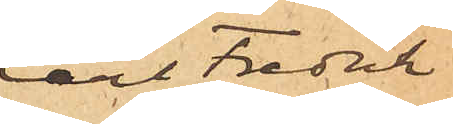Carl Fredrik
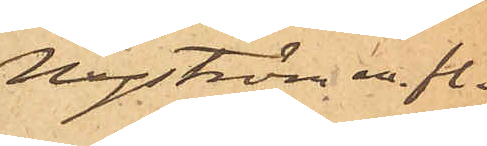Nyström m. fl.
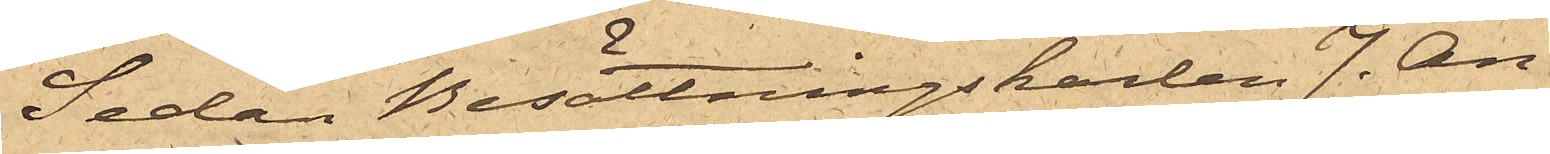Sedan Besättningskarlen J. An¬
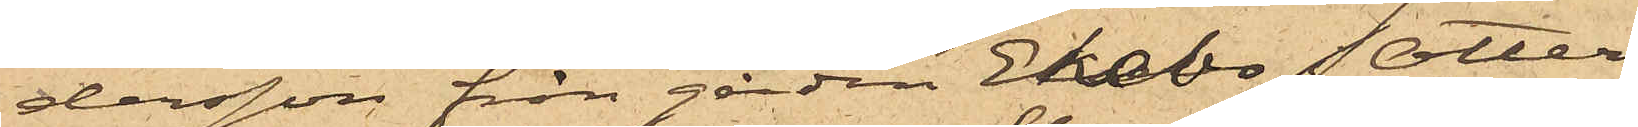dersson från gården Ekebo Otter¬
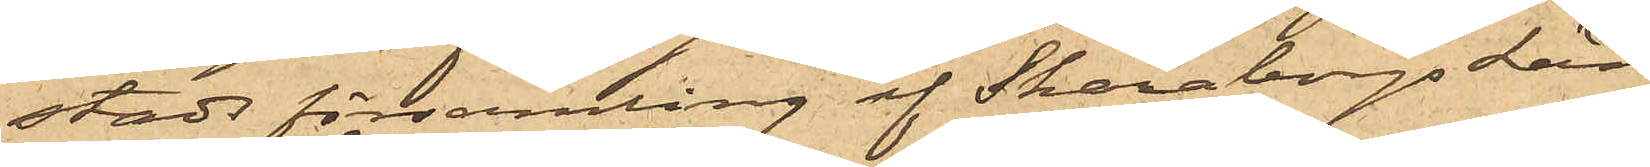stads församling af Skaraborgs Län,
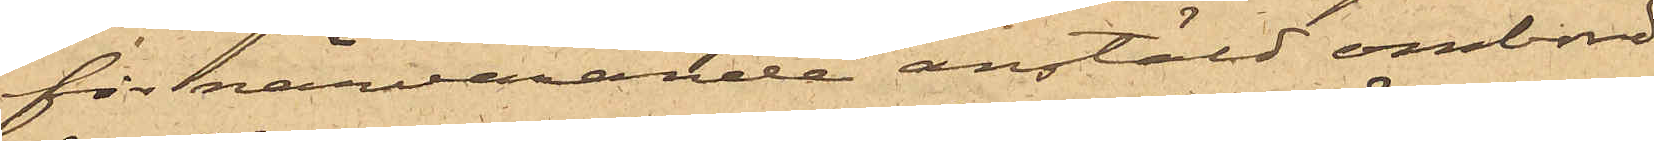för närvarande anstäld ombord
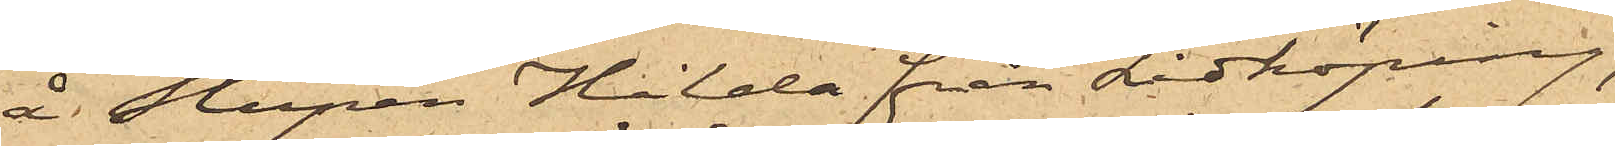å slupen Hilda från Lidköping,
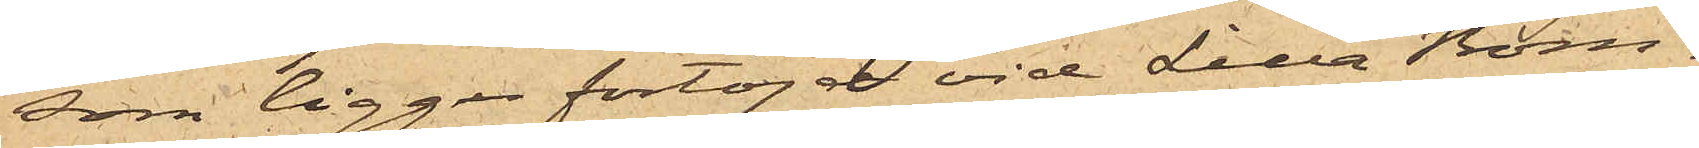som ligger förtöjd vid Lilla Bom¬
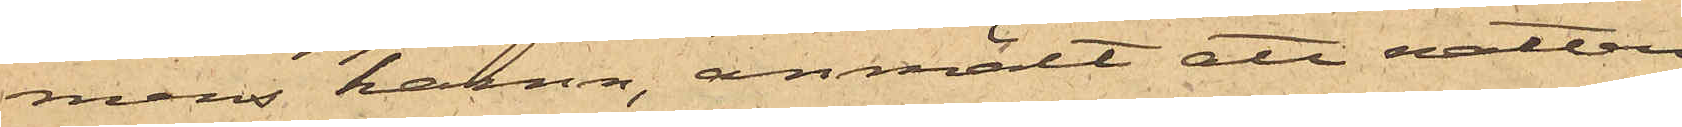mens hamn, anmält att natten
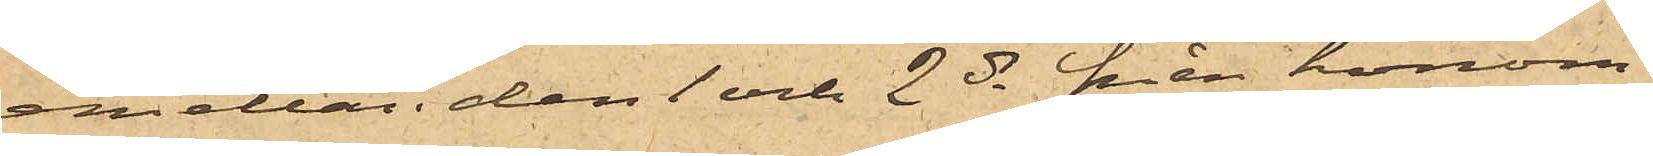emellan den 1 och 2 ds från honom
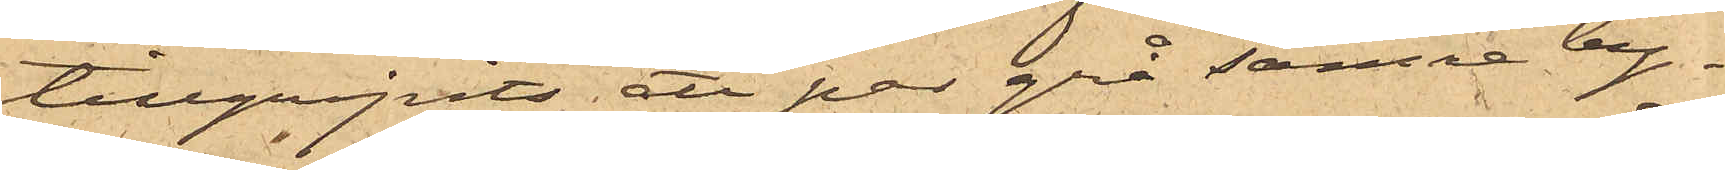tillgripits ett par grå sämre by¬
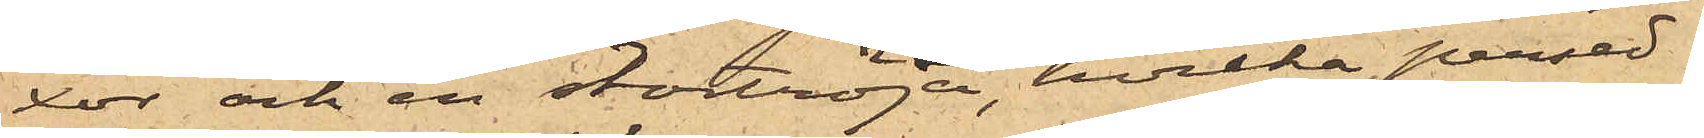xor och en stortröja, hvilka persed¬
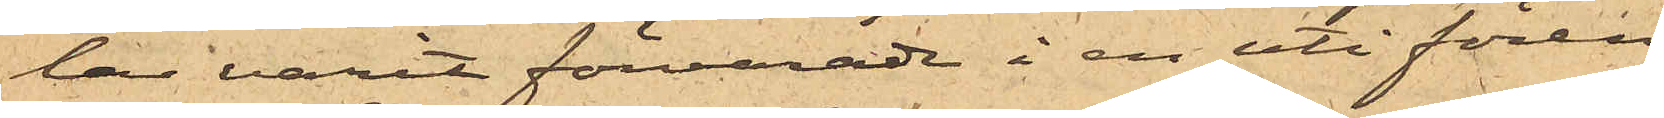lar varit förvarade i en uti fören
